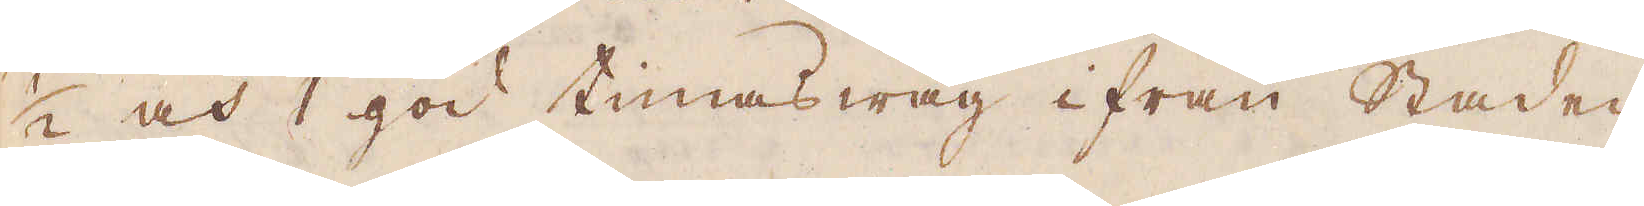1/2 och 1 god timas wäg ifrån Staden
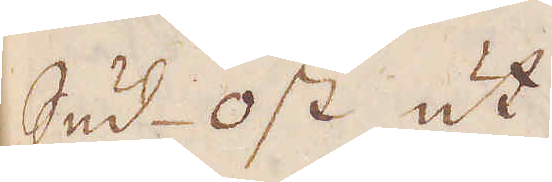Sud-ost ut.
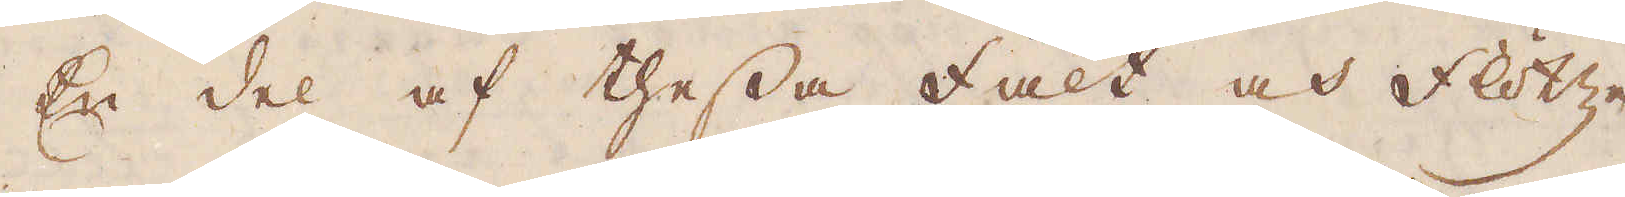En del af thessa Fält och Flötzen
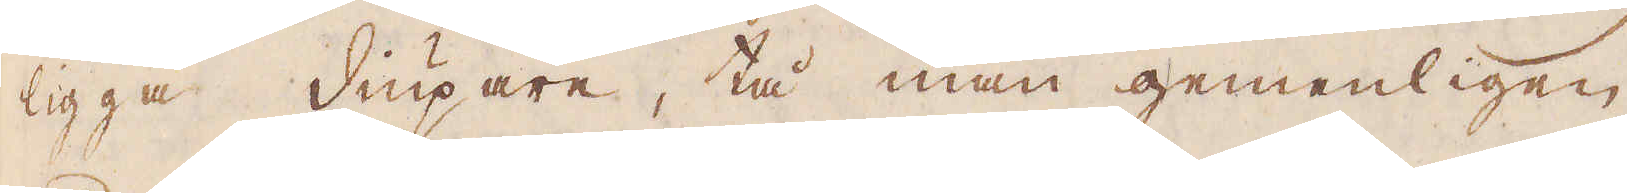ligga diupare, tå man gemenligen
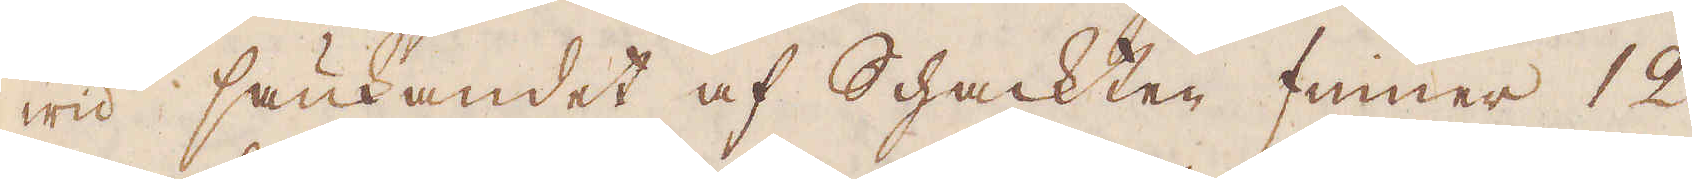wid sänkandet af Schackten finner 12
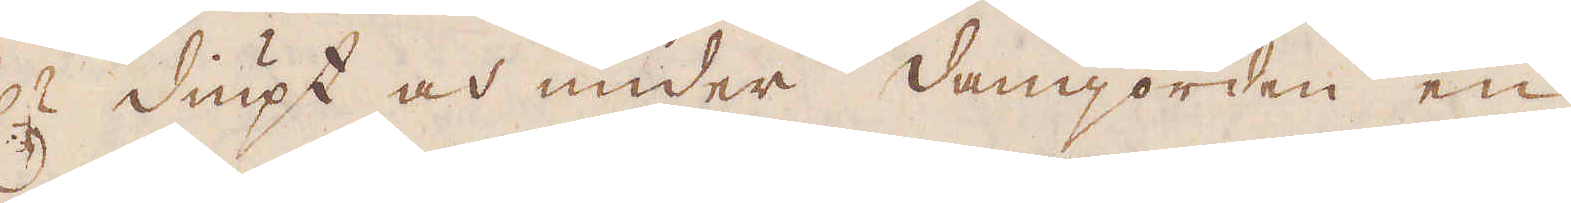f:r diupt och under Damjorden en
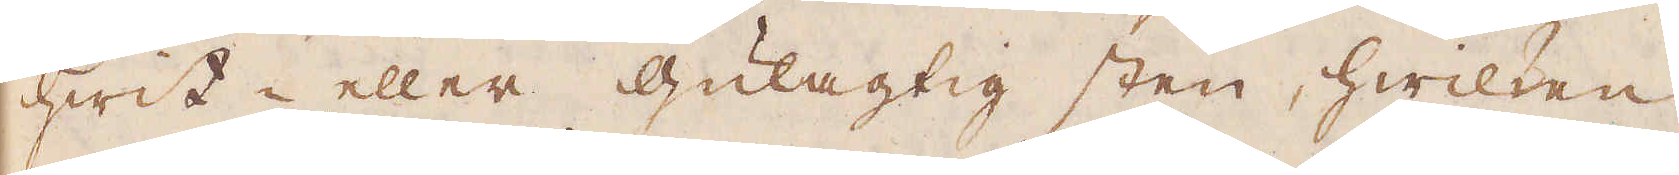hwit- eller Gulagtig sten, hwilken
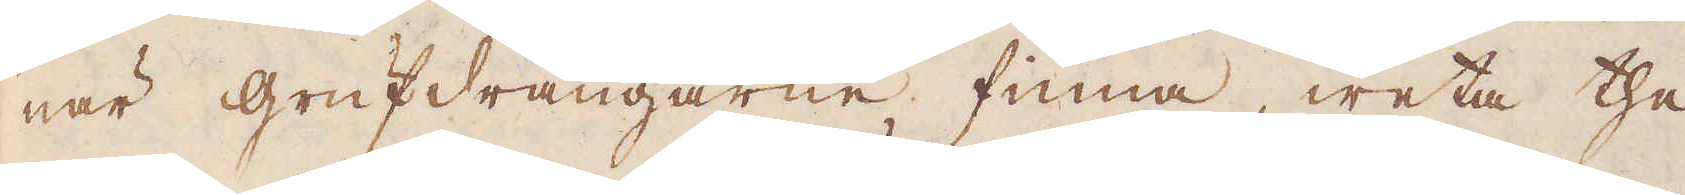när Grufdrängarne finna, weta the
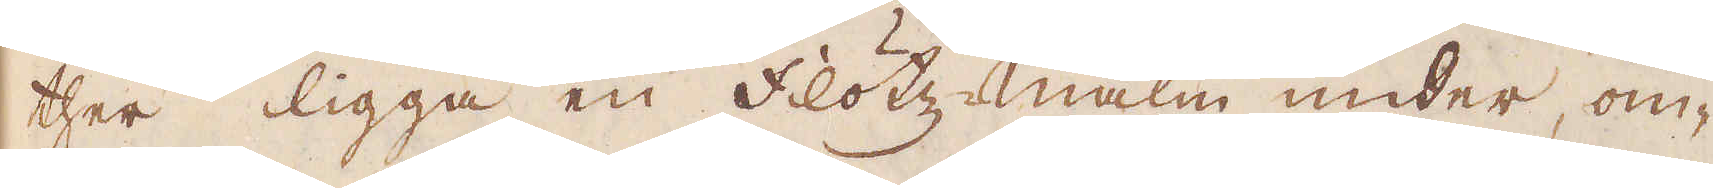ther ligga en Flötzmalm under, om-
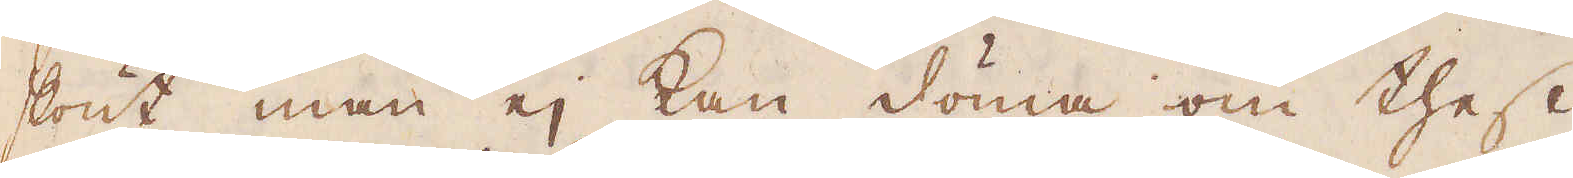skönt man ej kan döma om thess
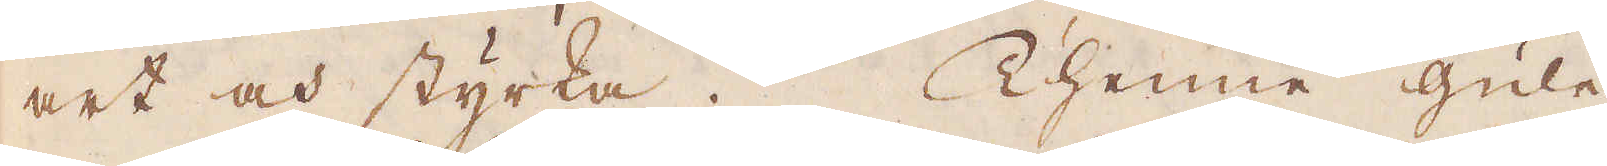art och styrka. Thenne gule
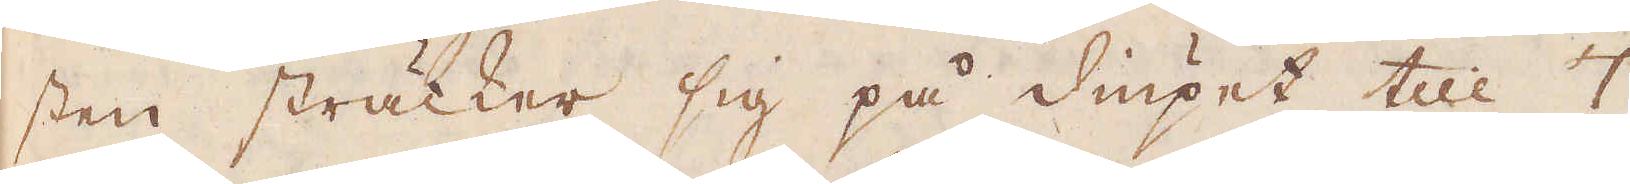sten sträcker sig på diupet till 7
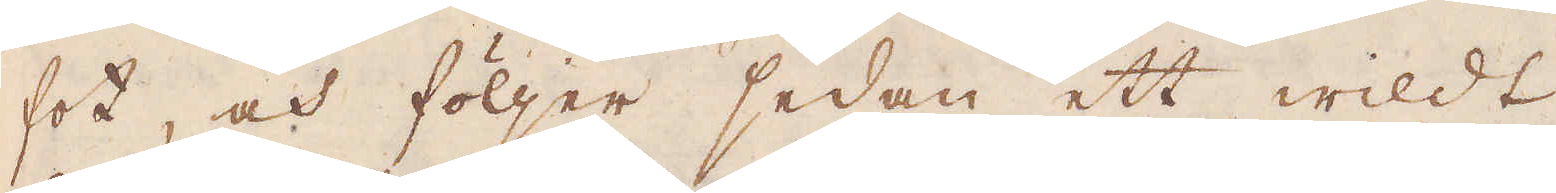fot, och följer sedan ett wildt
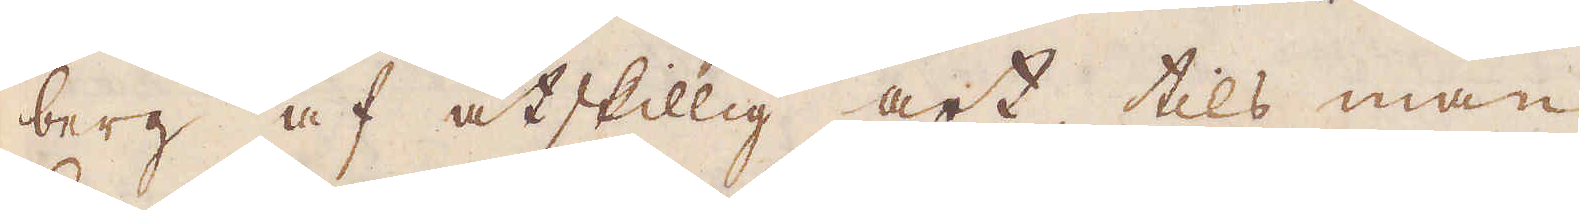berg af åtskillig art, tils man
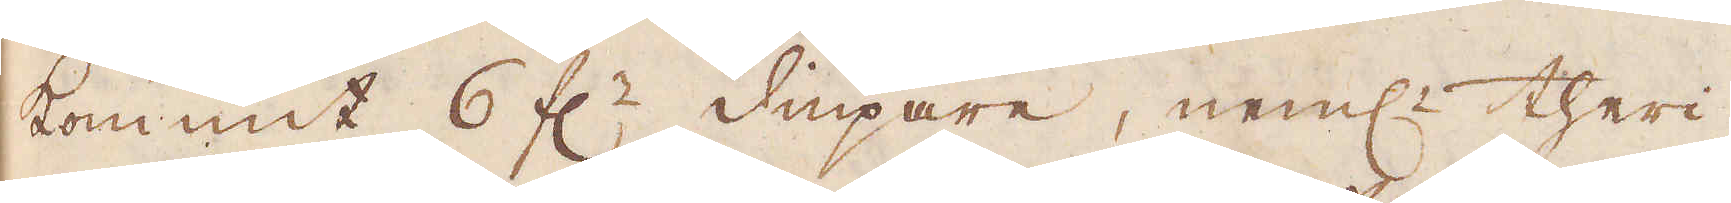kommit 6 f:r diupare, neml:n theri-
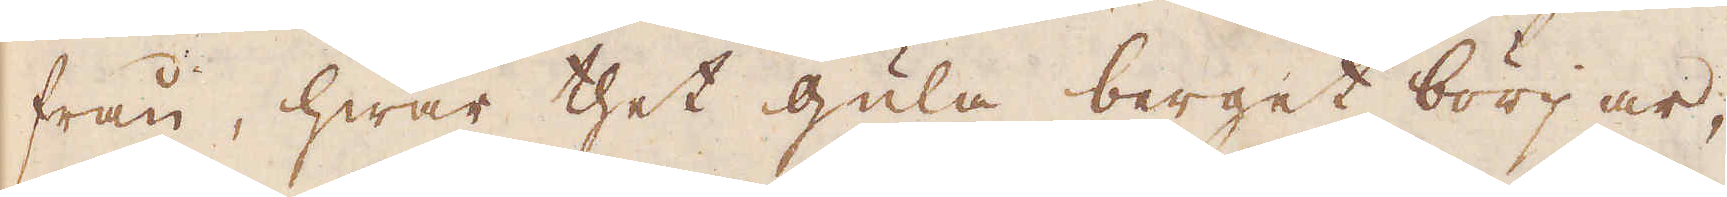från, hwar thet gula berget börjar,
